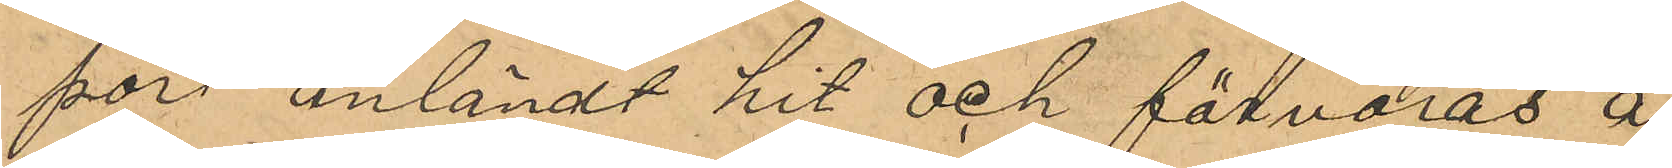port anländt hit och förvaras å
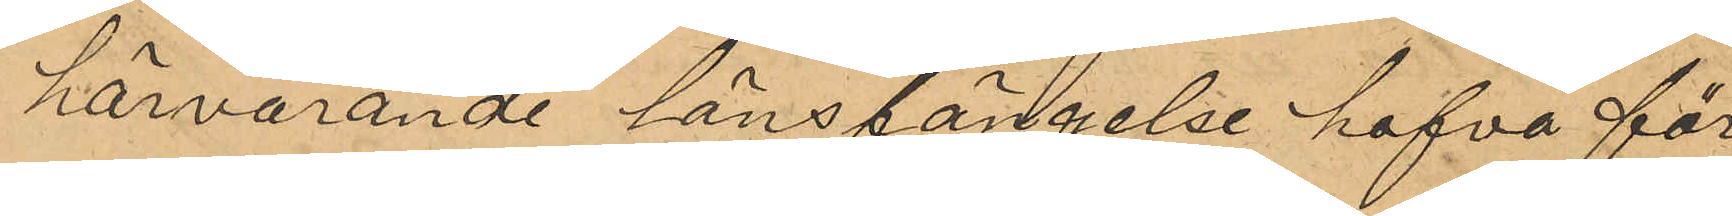härvarande länsfängelse hafva för
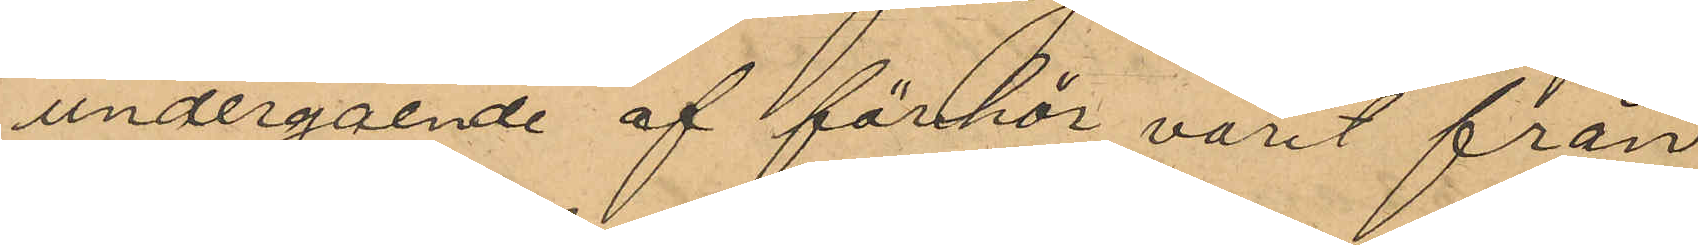undergående af förhör varit från 
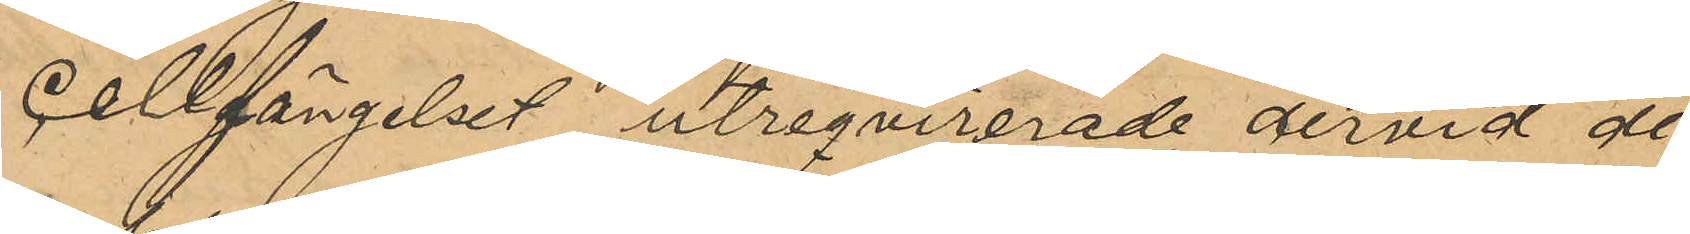Cellfängelset utreqvirerade och dervid de
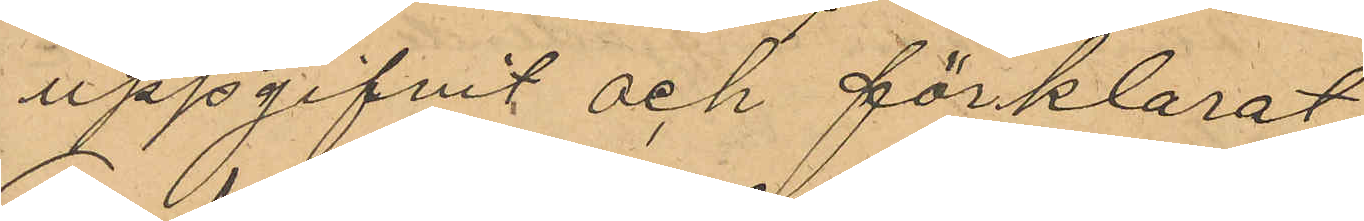uppgifvit och förklarat;
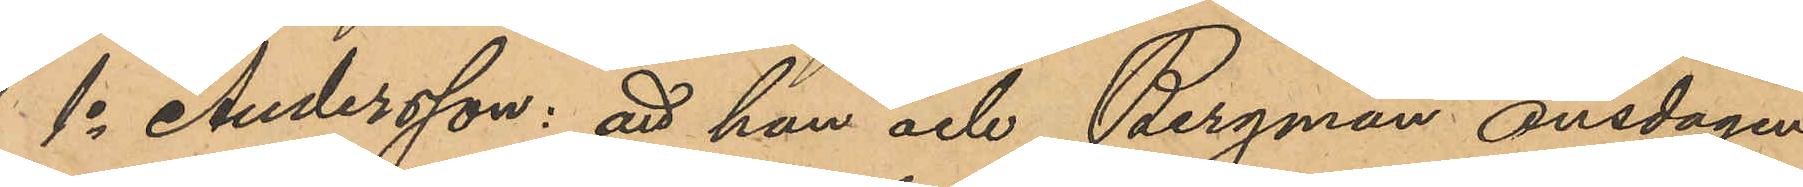1o Andersson: att han och Bergman onsdagen
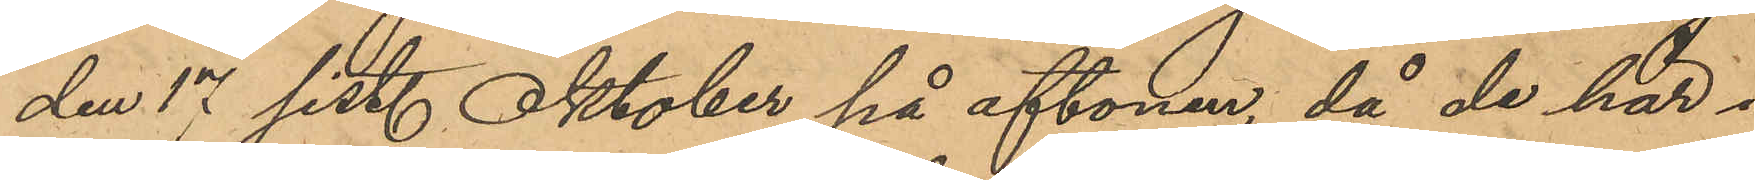den 17 sist. Oktober på aftonen, då de här i
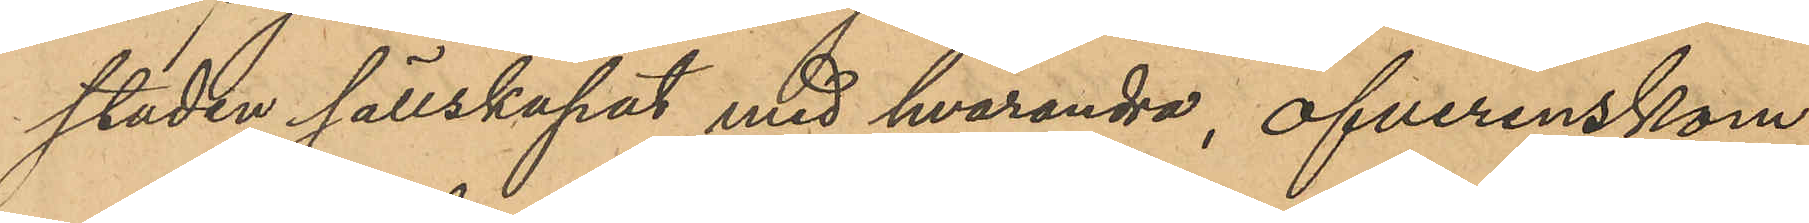staden sällskapat med hvarandra, öfverenskom¬
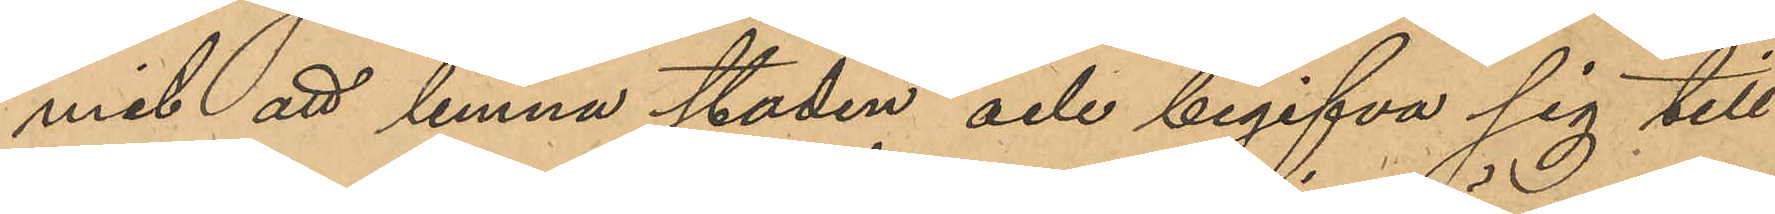mit att lemna staden och begifva sig till
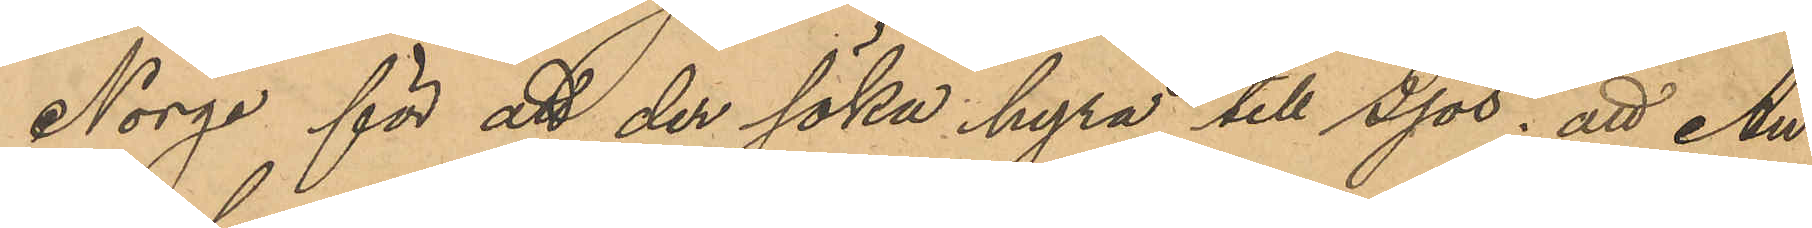Norge för att der söka hyra till sjös; att An¬
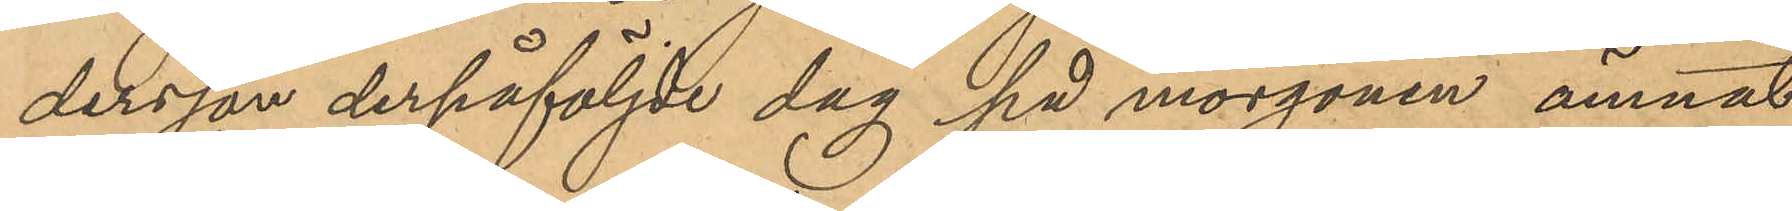dersson derpåföljde dag på morgonen ämnat
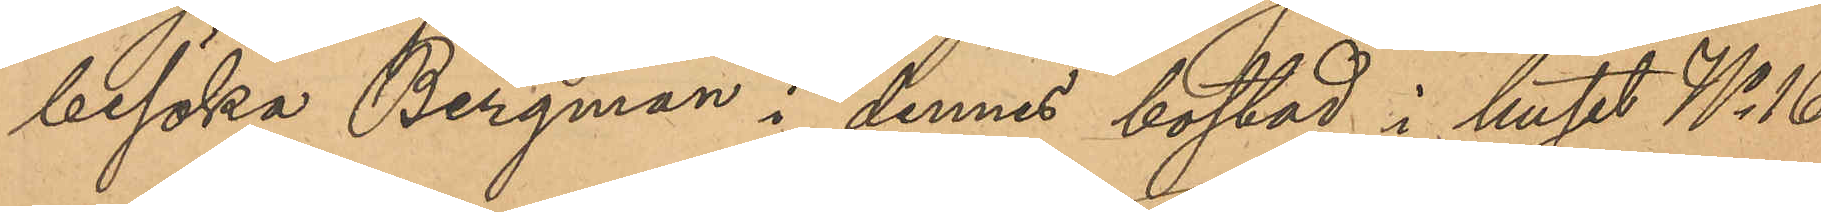besöka Bergman i dennes bostad i huset No 16
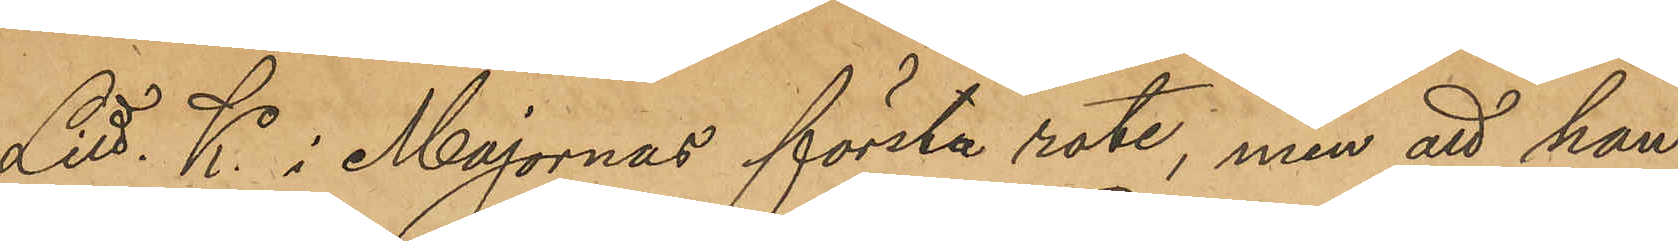Litt. K i Majornas första rote, men att han
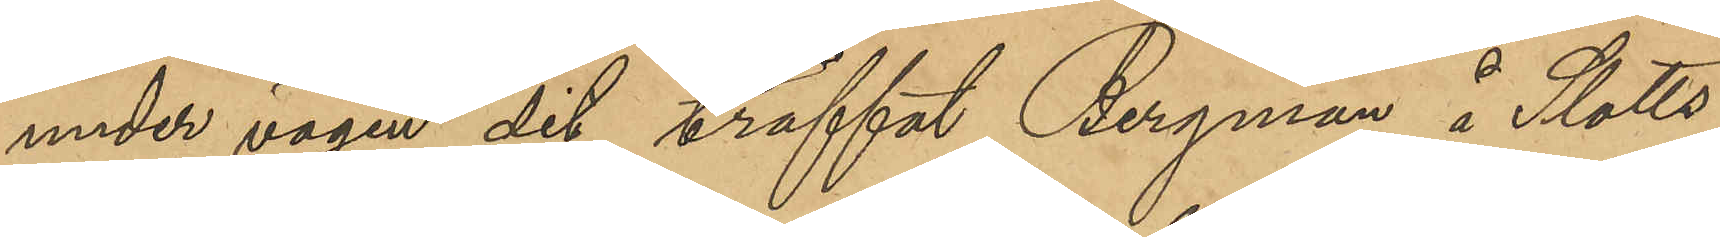under vägen dit träffat Bergman å Slotts¬
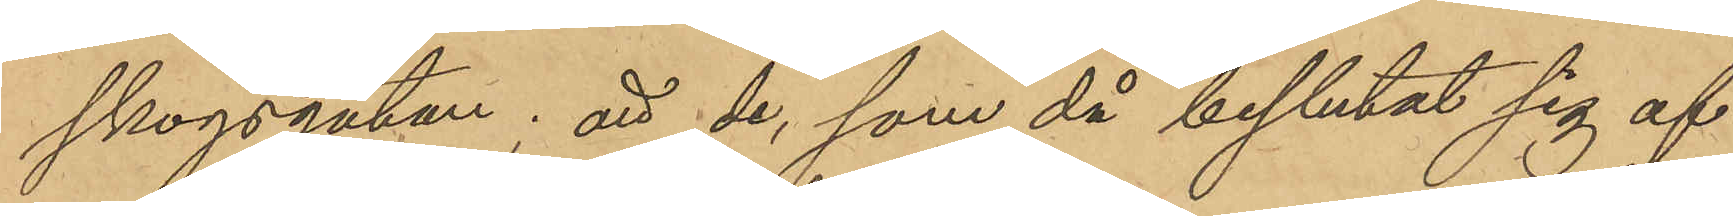skogsgatan; att de, som då beslutat sig att
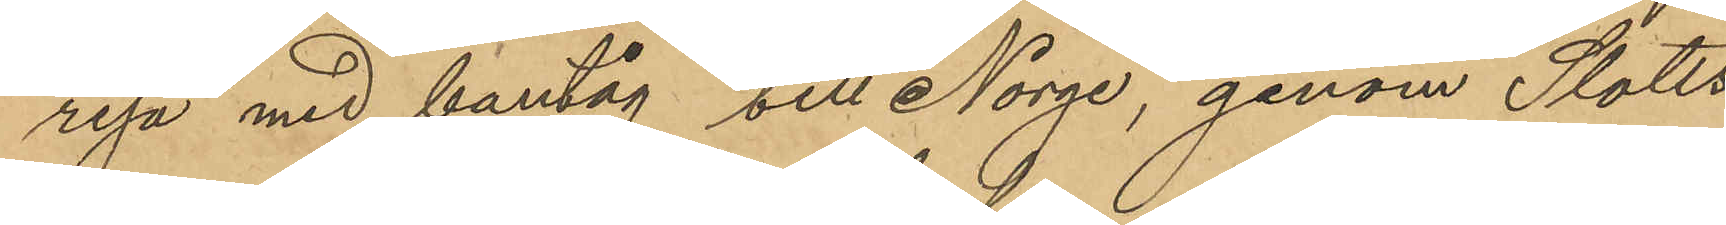resa med bantåg till Norge, genom Slotts¬
